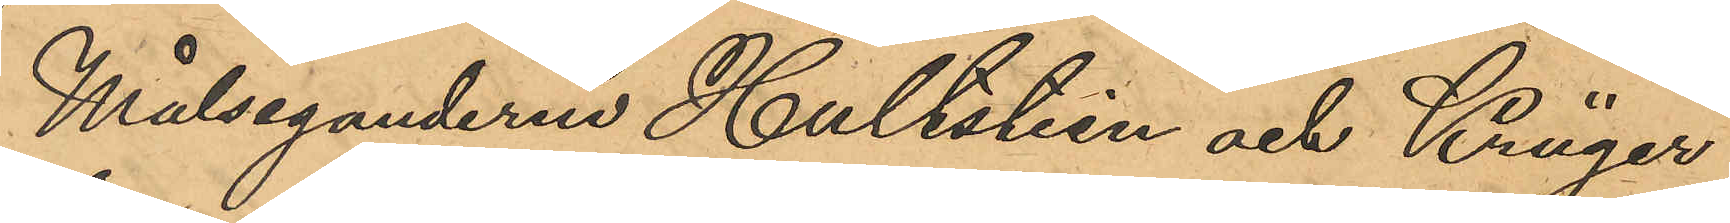Målseganderne Hultstein och Krüger
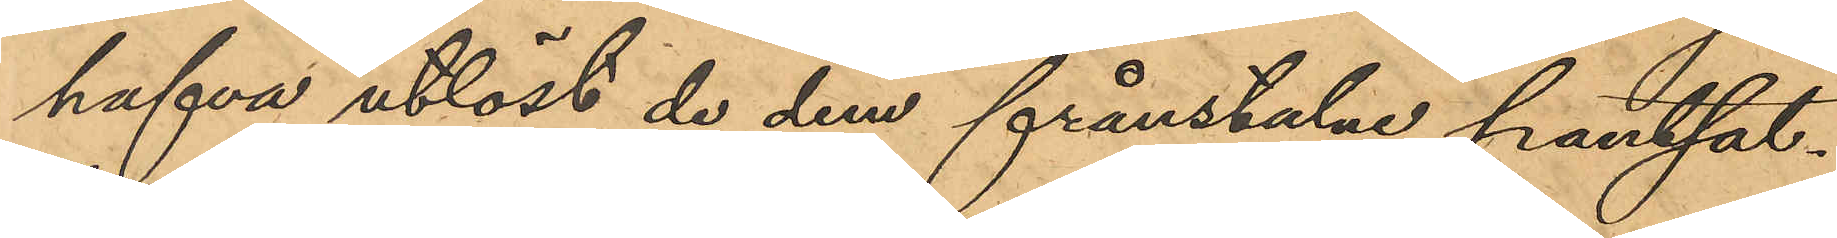hafva utlöst de dem frånstulne pantsat¬
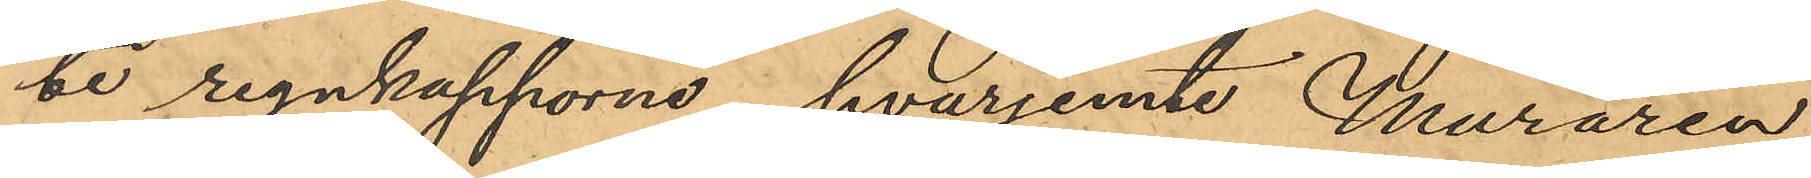ne regnkapporne, hvarjemte Muraren
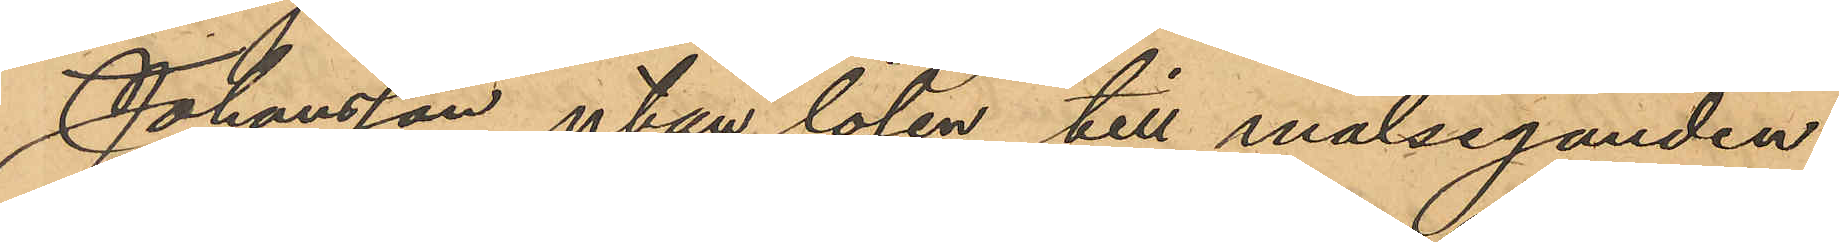Johansson utan lösen till målseganden
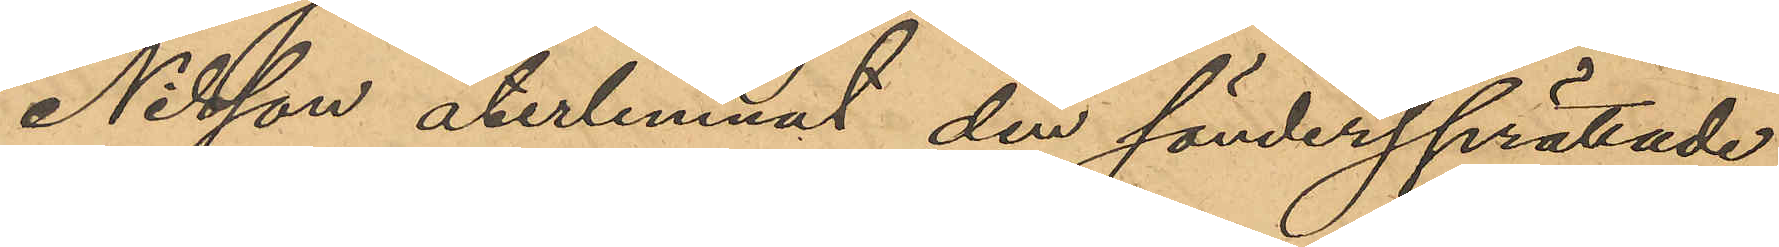Nilsson återlemnat den söndersprättade
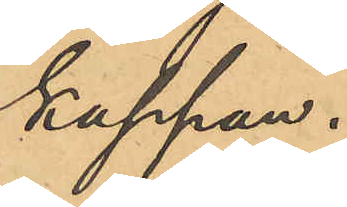kappan.
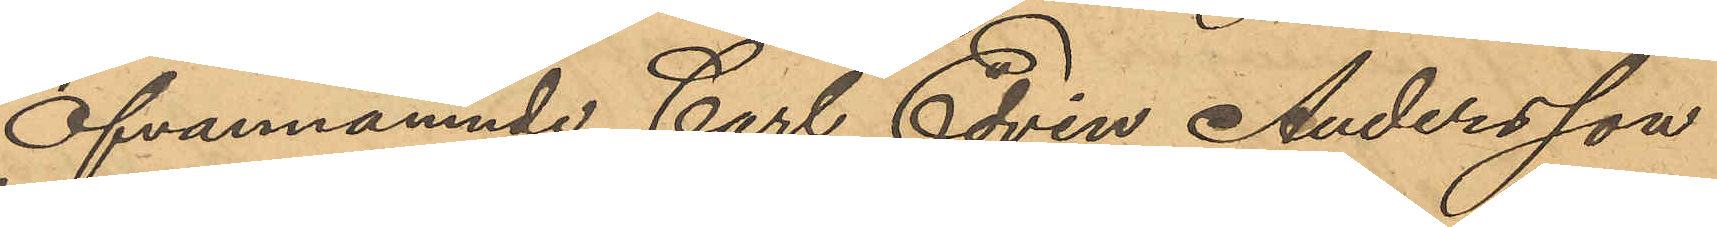Ofvannämnde Carl Edvin Andersson
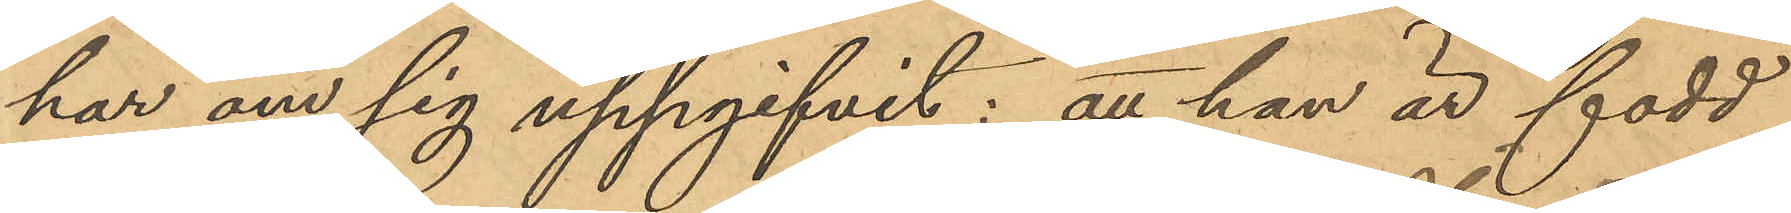har om sig uppgifvit: att han är född
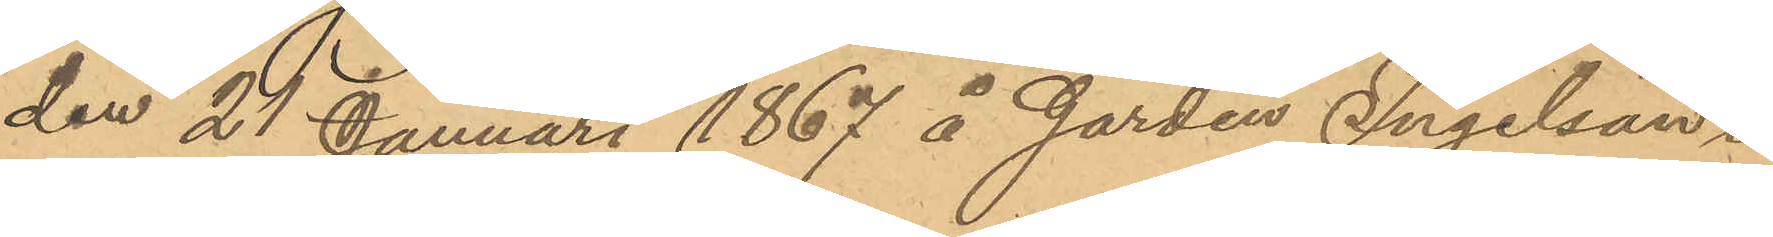den 21 Januari 1867 å Gården Ingelsän¬
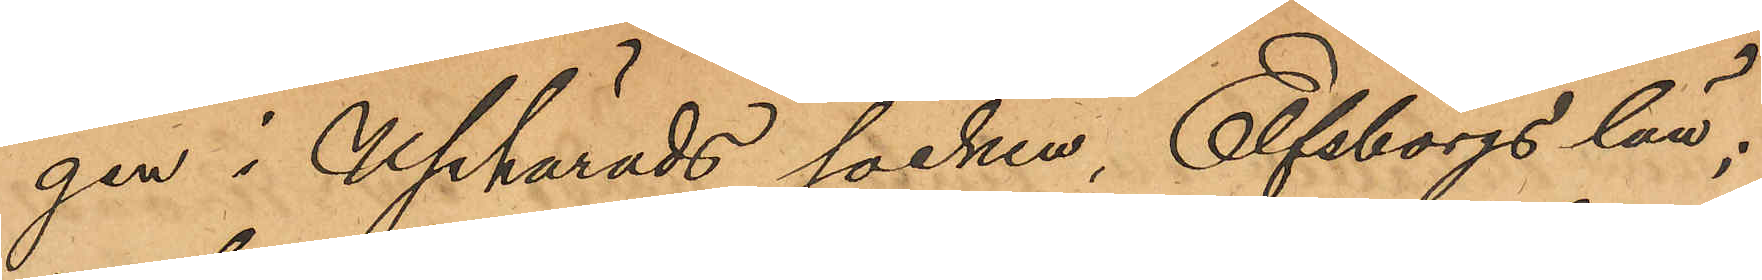gen i Uphärads socken, Elfsborgs län;
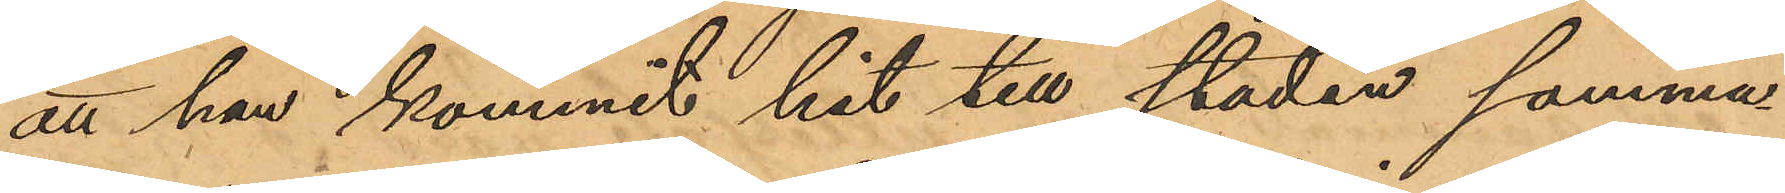att han kommit hit till staden somma¬
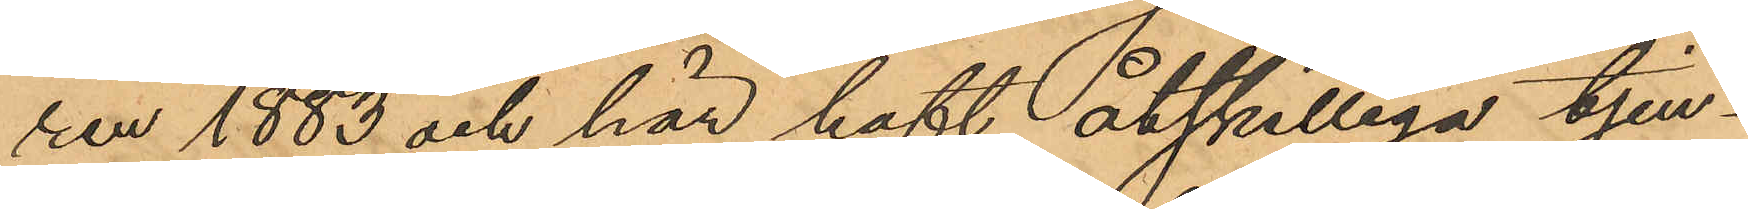rer 1883 och här haft åtskilliga tjen¬
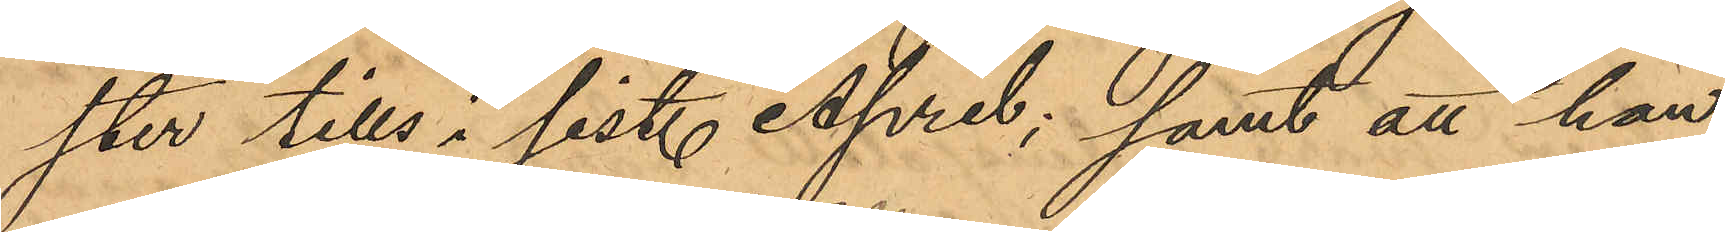ster tills i sist. April; samt att han
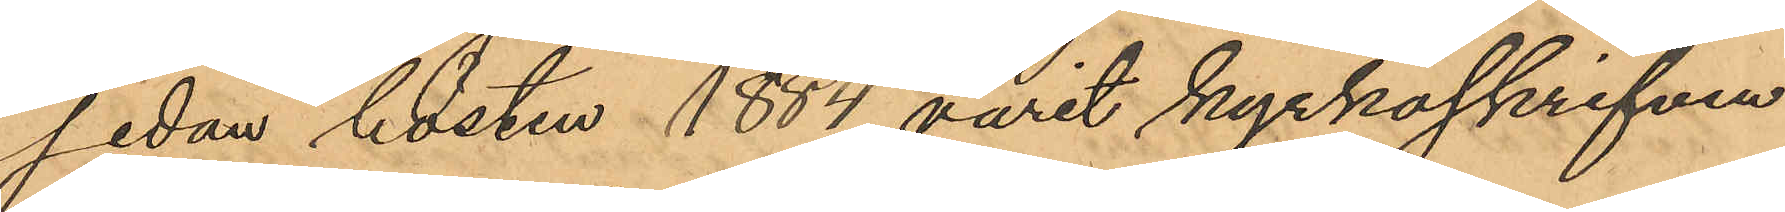sedan hösten 1884 varit kyrkoskrifven
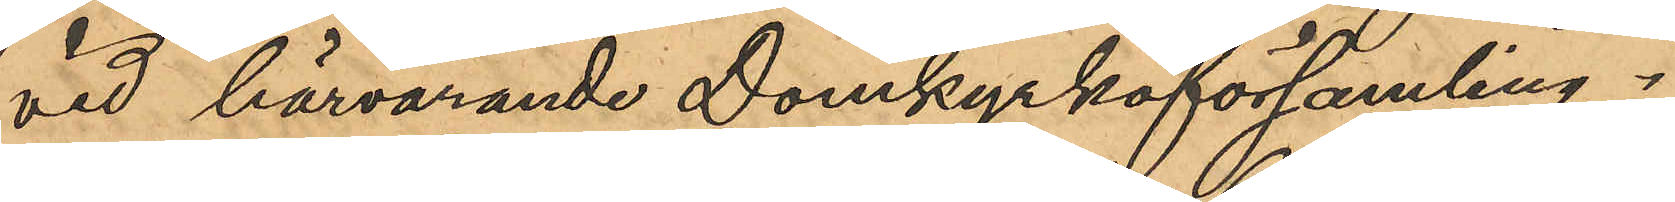vid härvarande Domkyrkoförsamling.
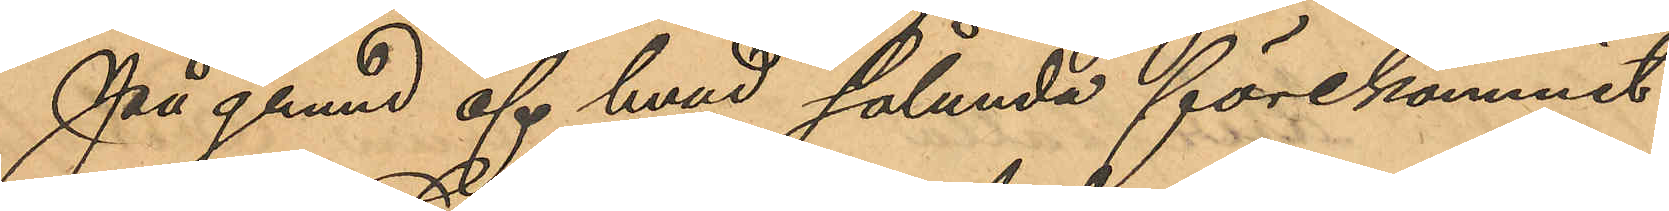På grund af hvad sålunda förekommit
